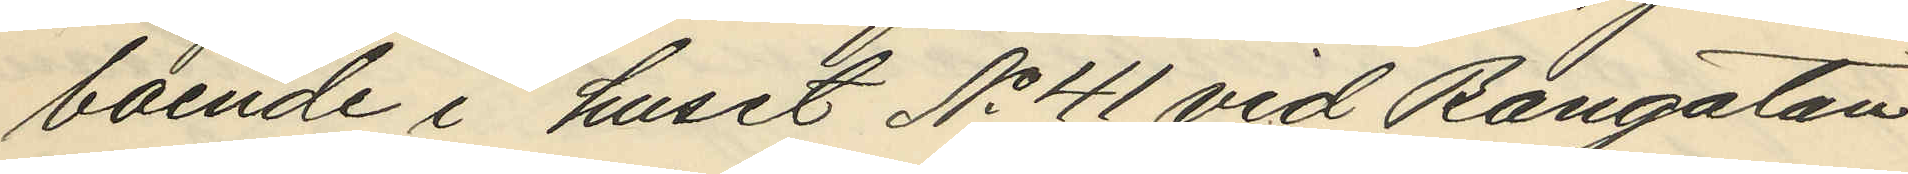boende i huset No 41 vid Bangatan
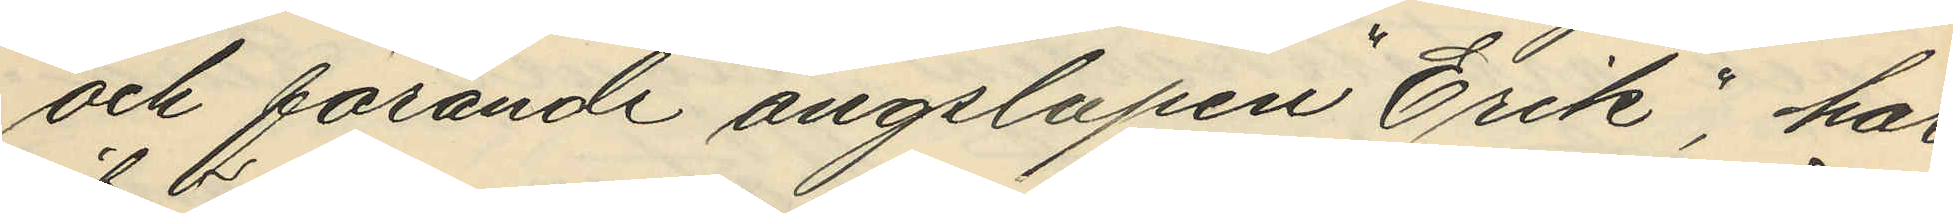och förande ångslupen "Erik", har
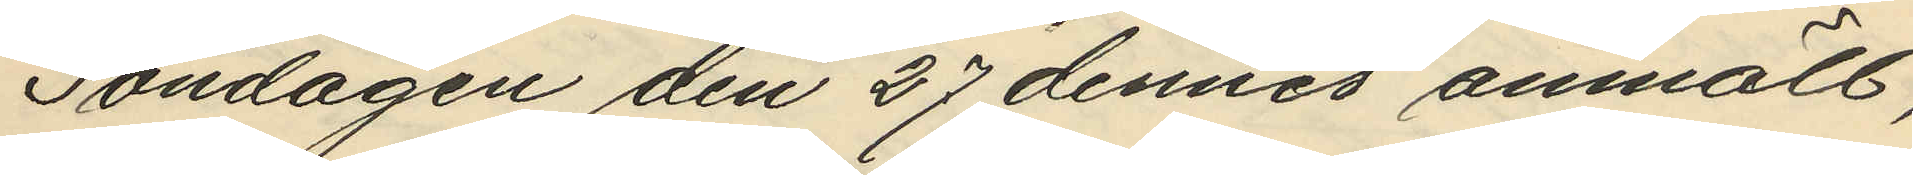Söndagen den 27 dennes anmält,
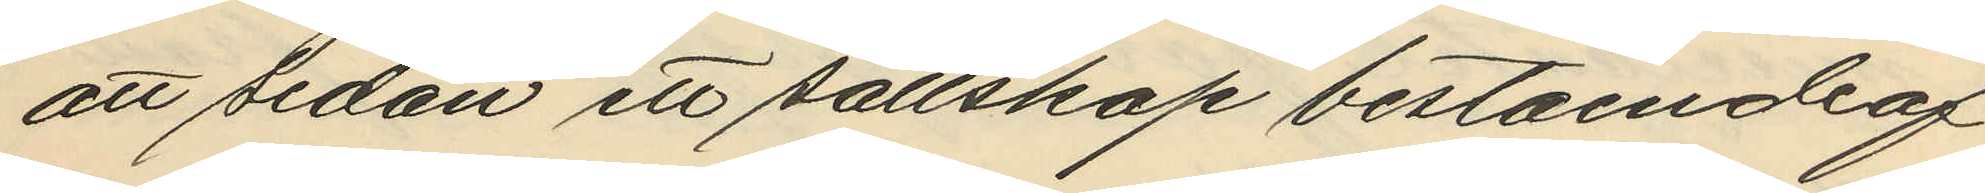att sedan ett sällskap bestående af
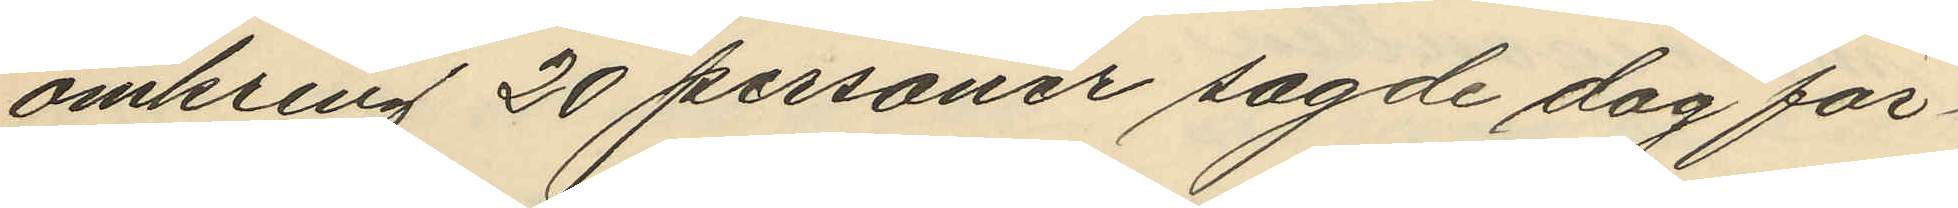omkring 20 personer sagde dag för¬
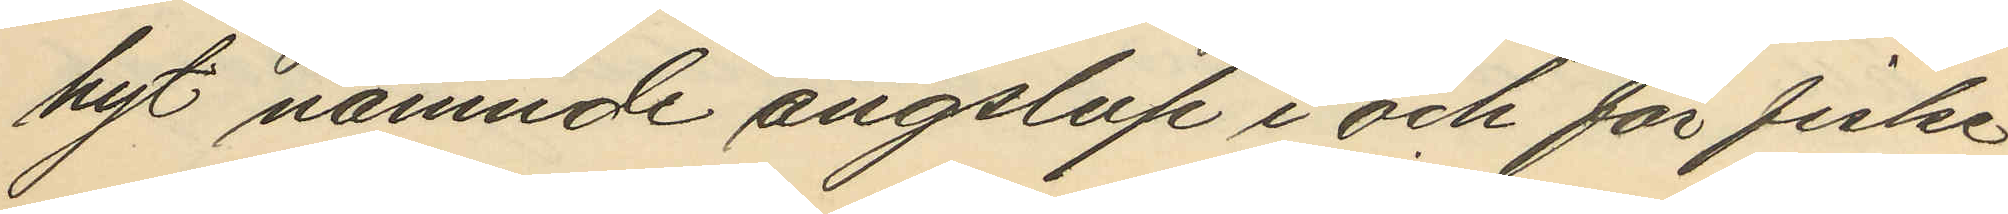hyt nämnde ångslup i och för fiske
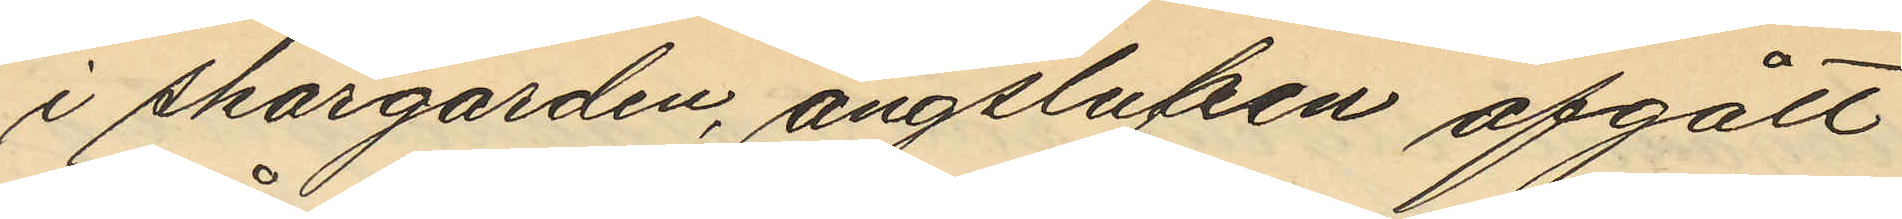i skärgården, ångslupen afgått
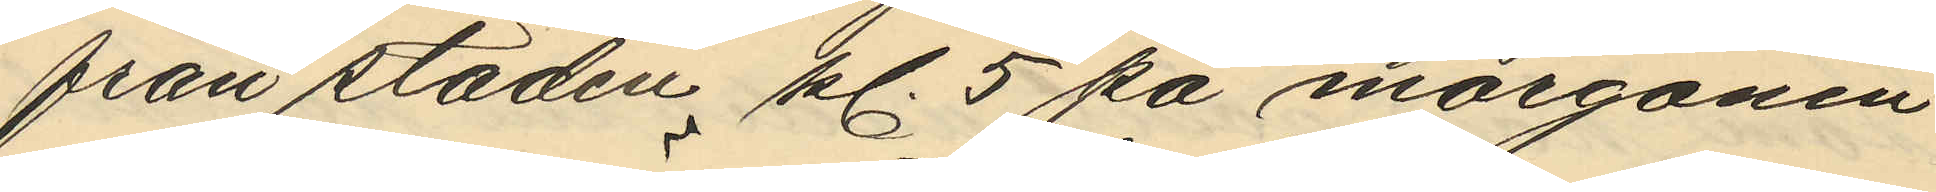från staden kl. 5 på morgonen
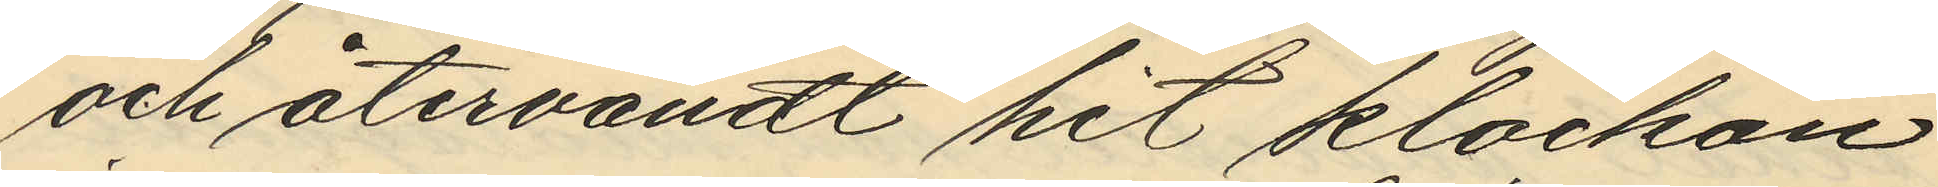och återvändt hit klockan
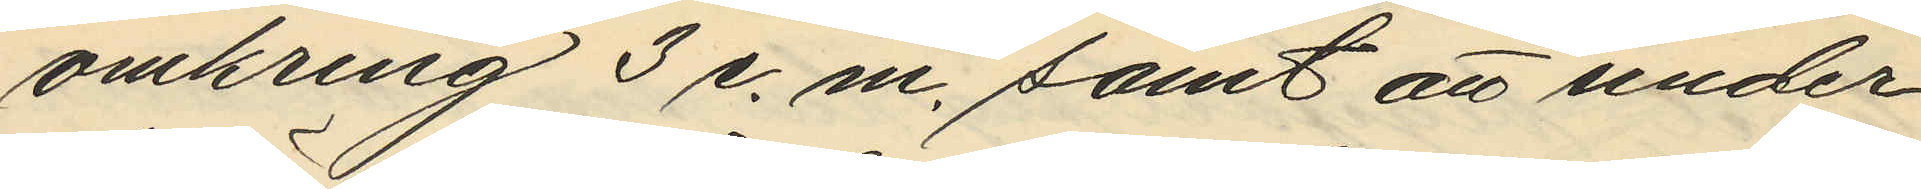omkring 3 e. m. samt att under
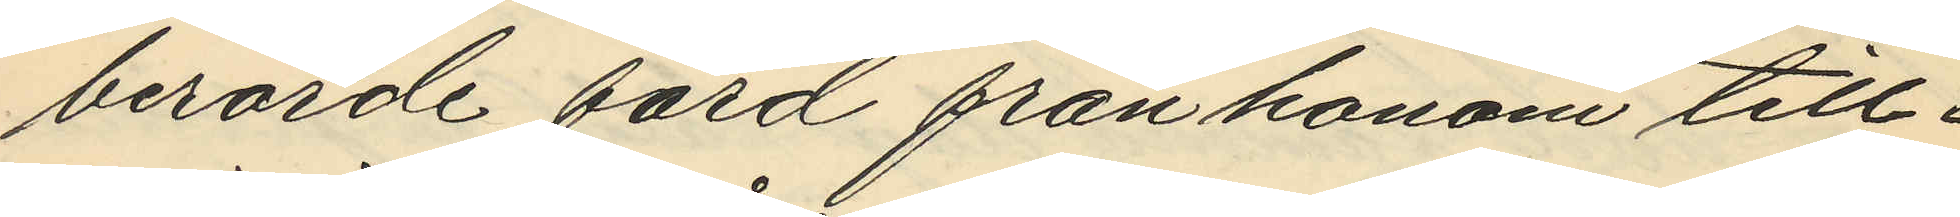berörde färd från honom till¬
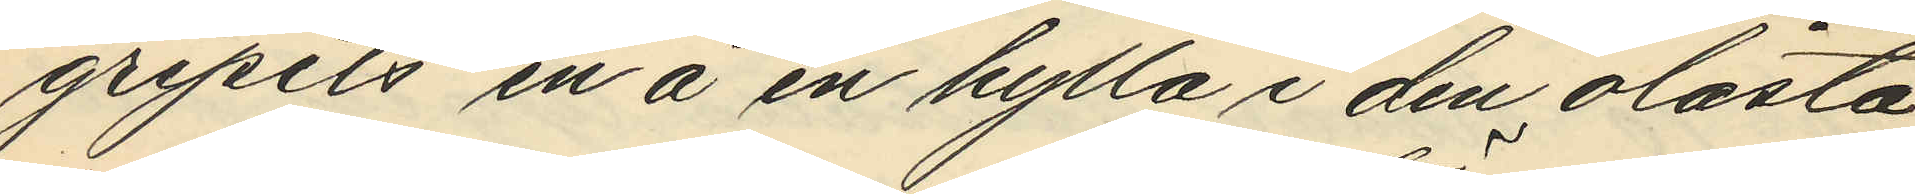gripits en å en hylla i den olåsta
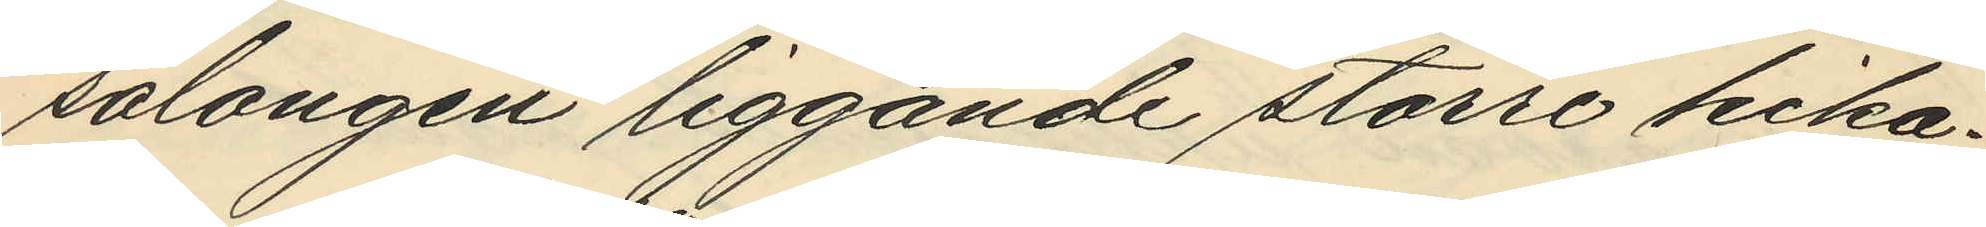salongen liggande större kika¬
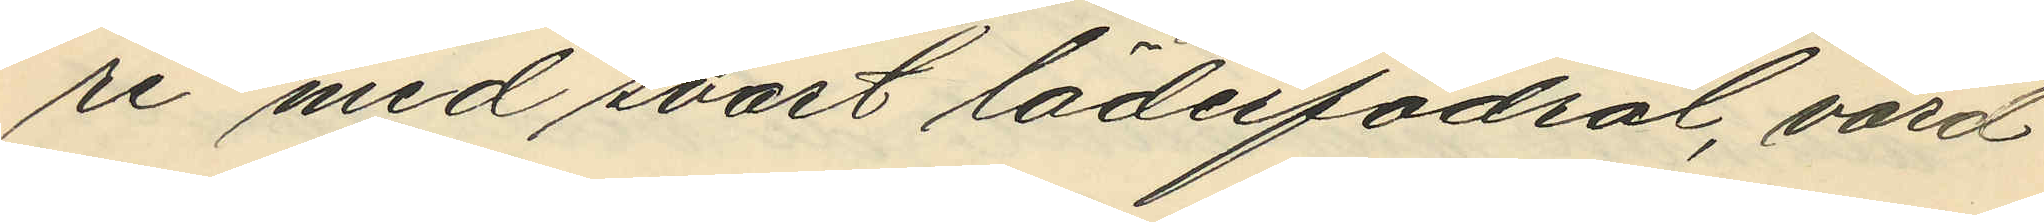re med svart läderfodral, värd
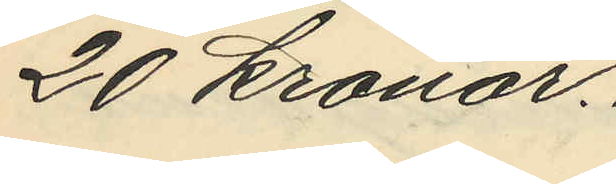20 kronor.
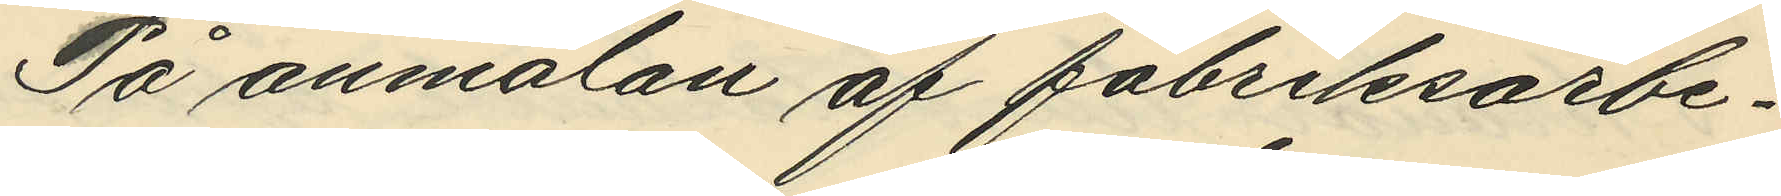På anmälan af fabriksarbe¬
